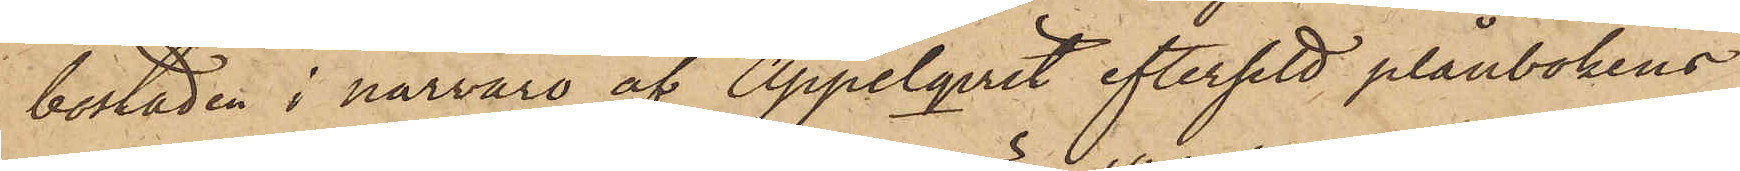bostaden i närvaro af Appelqvist eftersett plånbokens
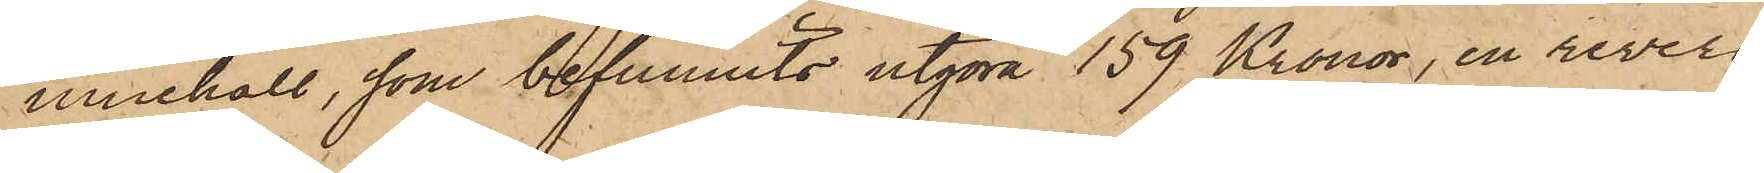innehåll, som befunnits utgöra 159 Kronor, en revers
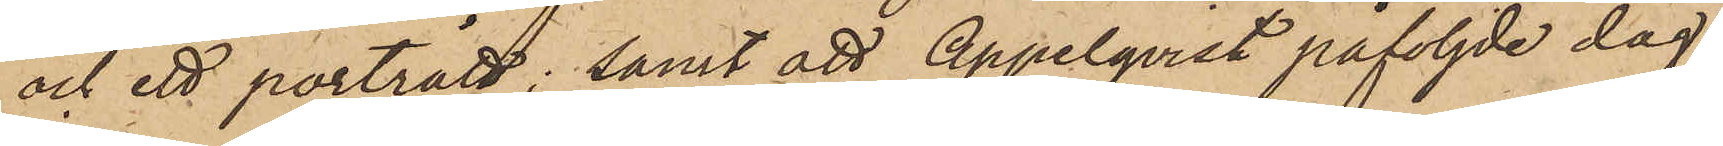och ett porträtt; samt att Appelqvist påföljde dag,
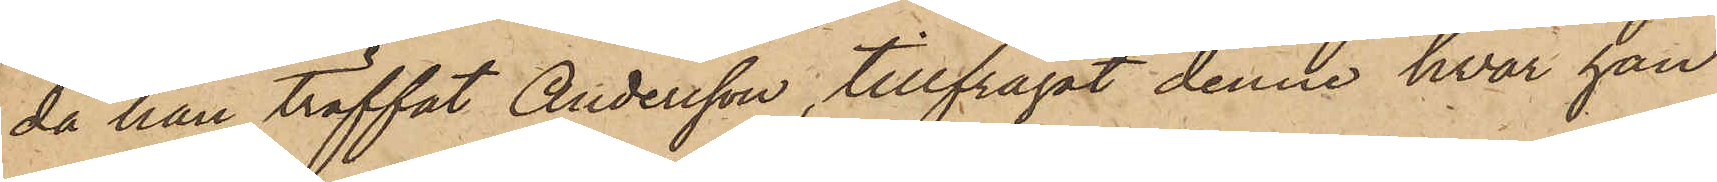då han träffat Andersson, tillfrågat denne, hvar han
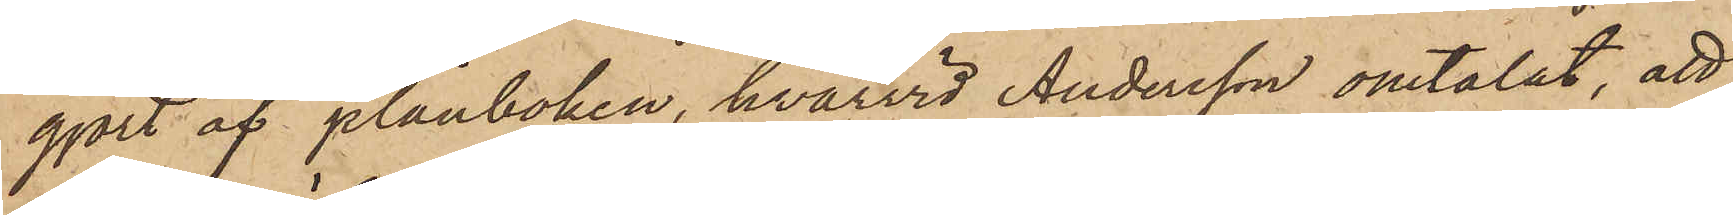gjort af plånboken, hvarvid Andersson omtalat, att
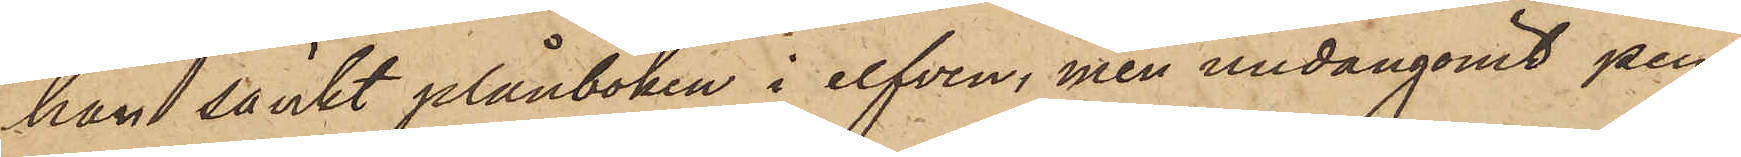han sänkt plånboken i elfven, men undangömt pen¬
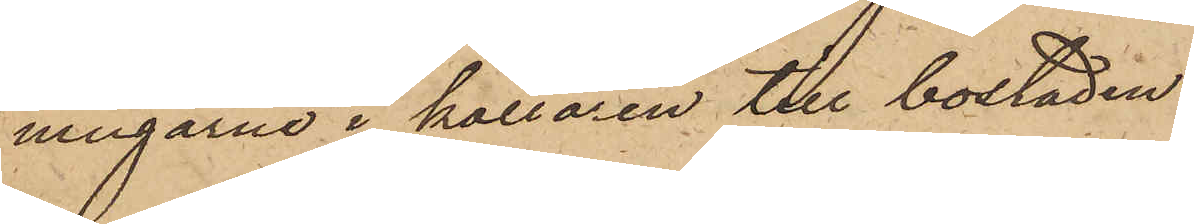ningarne i källaren till bostaden.
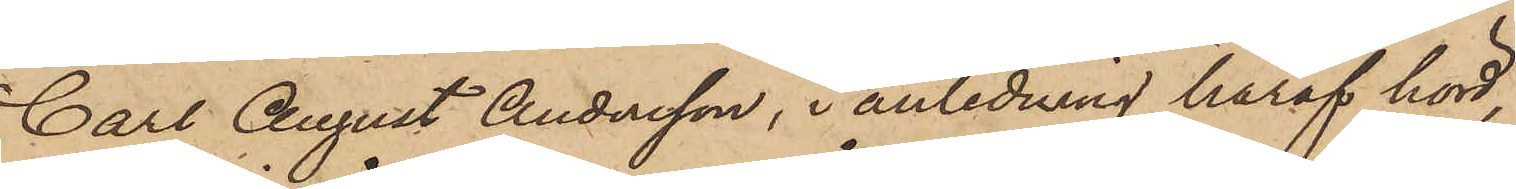Carl August Andersson, i anledning häraf hörd,
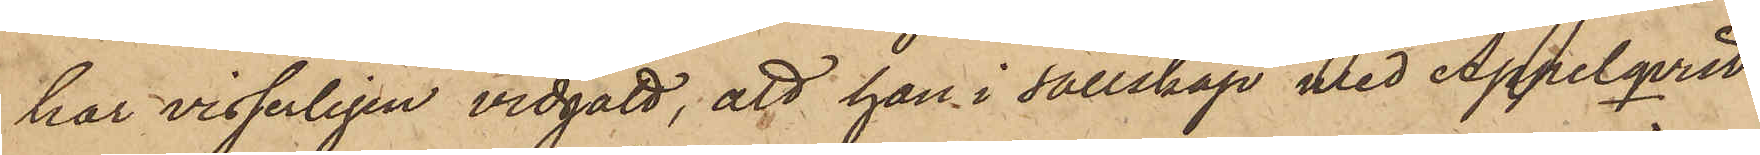har visserligen vidgått, att han i sällskap med Appelqvist
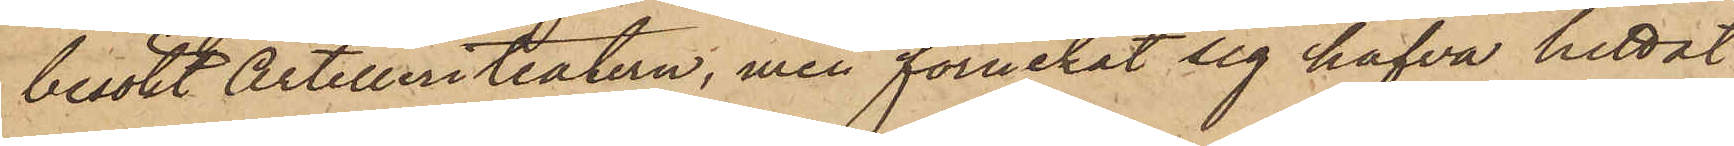besökt Artilleriteatern, men förnekat sig hafva hittat
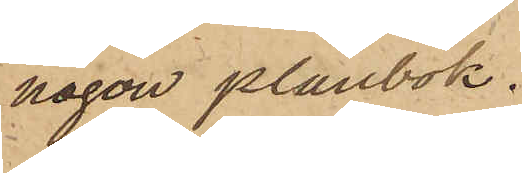någon plånbok.
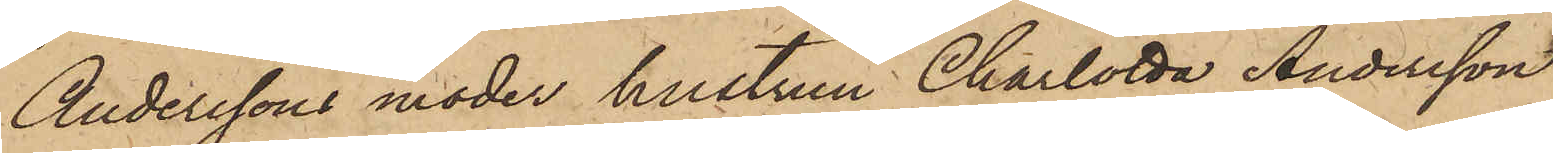Anderssons moder hustrun Charlotta Andersson
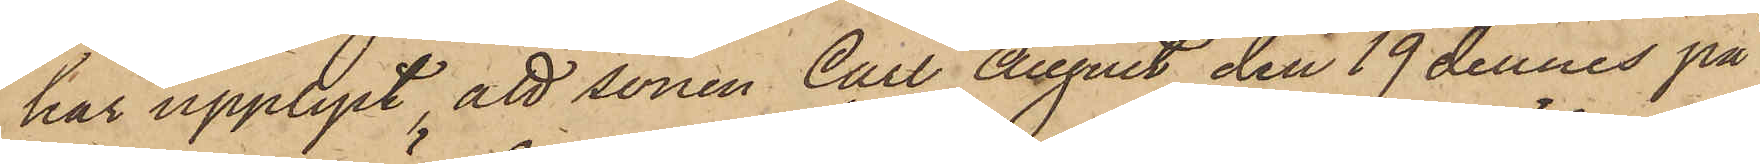har upplyst, att sonen Carl August den 19 dennes på
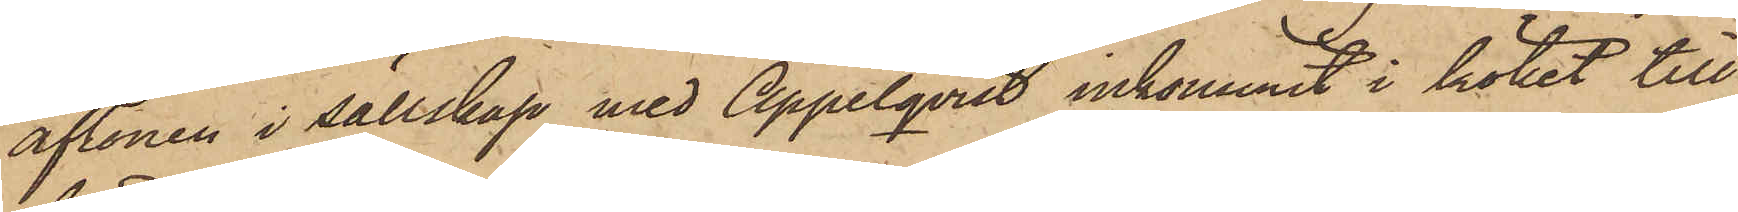aftonen i sällskap med Appelqvist inkommit i köket till
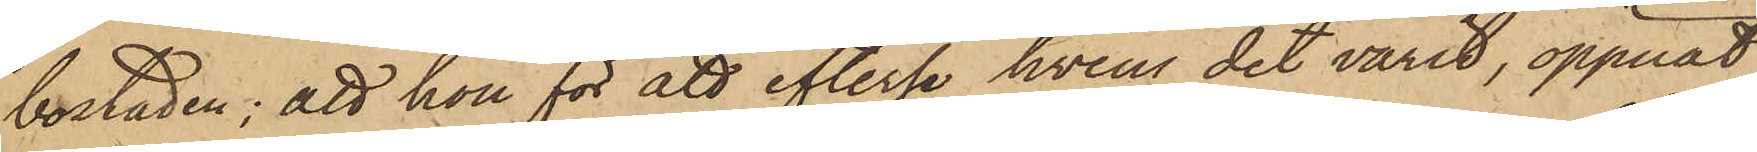bostaden; att hon för att efterse hvem det varit, öppnat
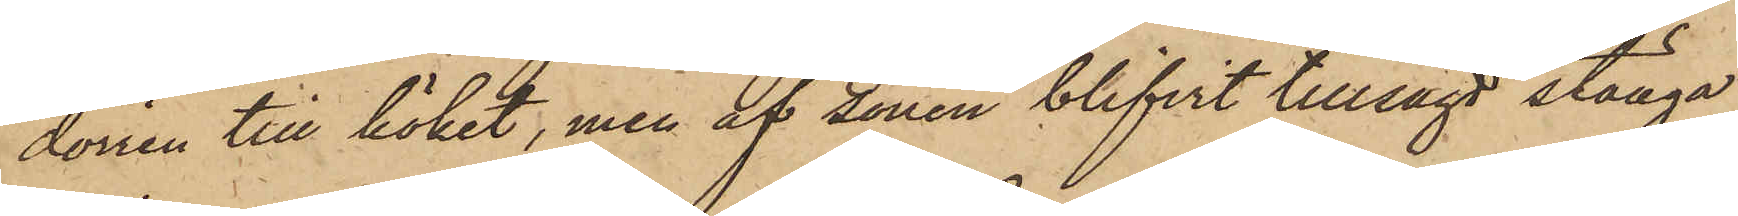dörren till köket, men af sonen blifvit tillsagd stänga
